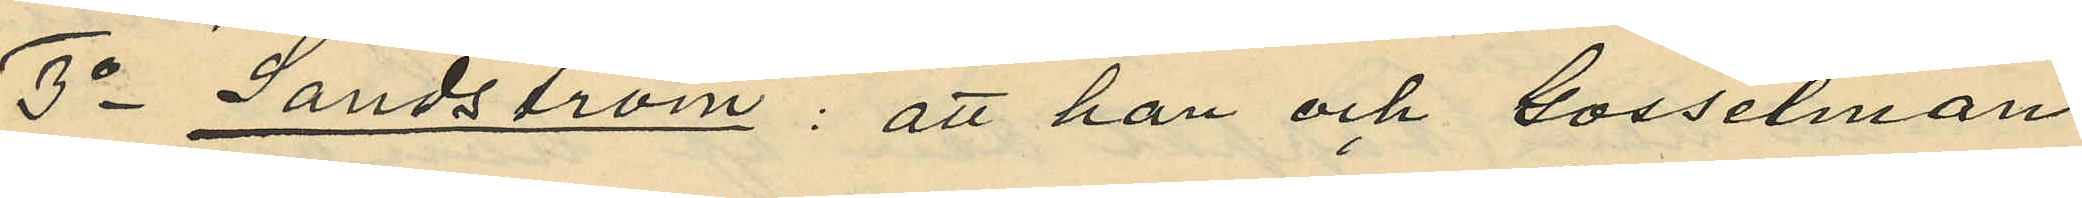3o Sandström: att han och Gosselman
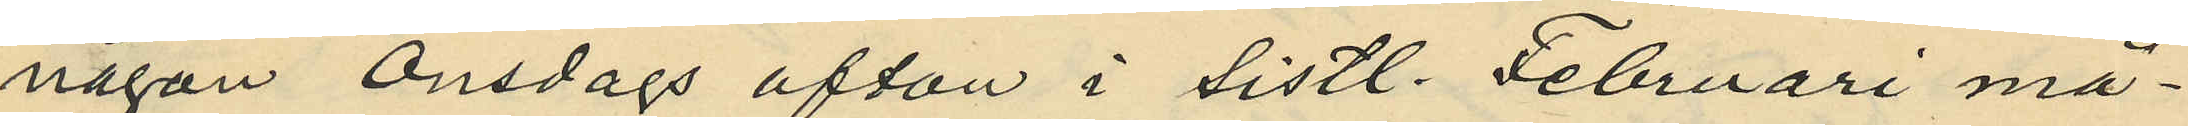någon Onsdags afton i sistl. Februari må¬
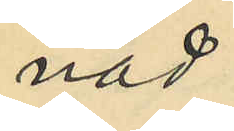nad
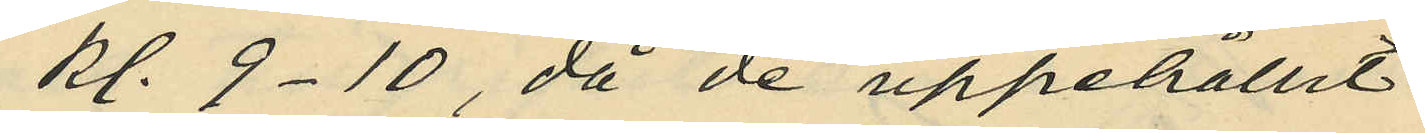kl. 9-10, då de uppehållit
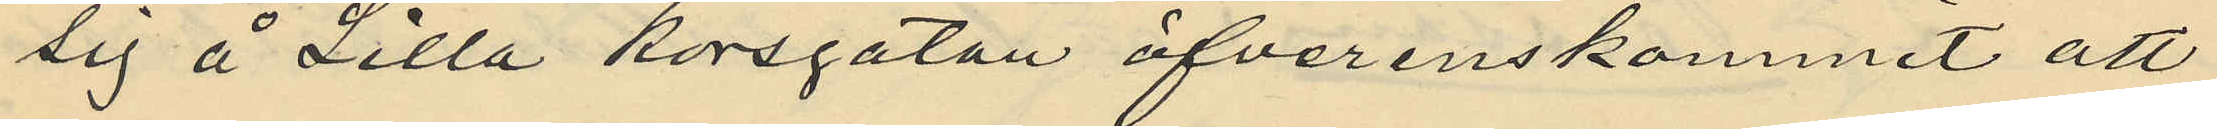sig å Lilla Korsgatan öfverenskommit att
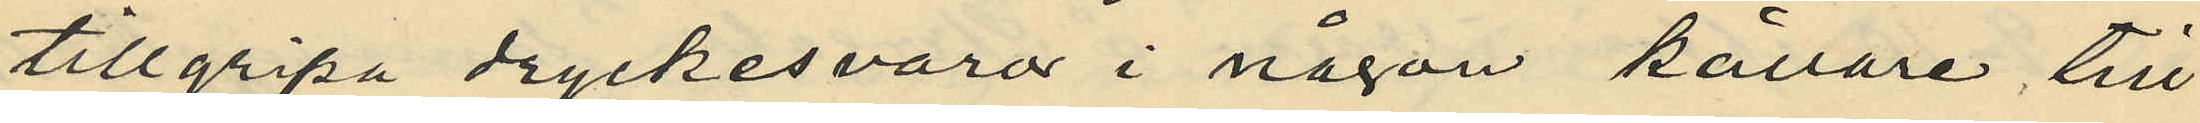tillgripa dryckesvaror i någon källare till
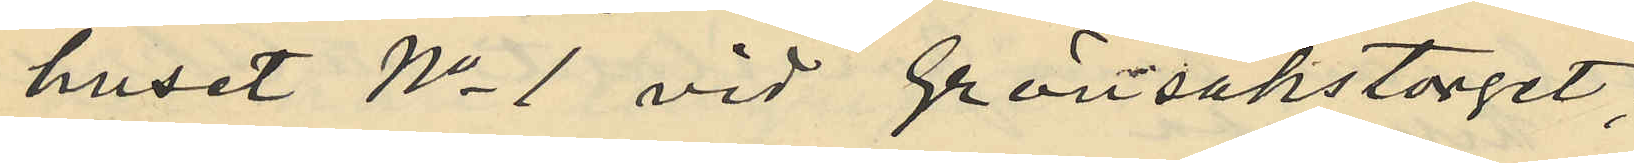huset No 1 vid Grönsakstorget,
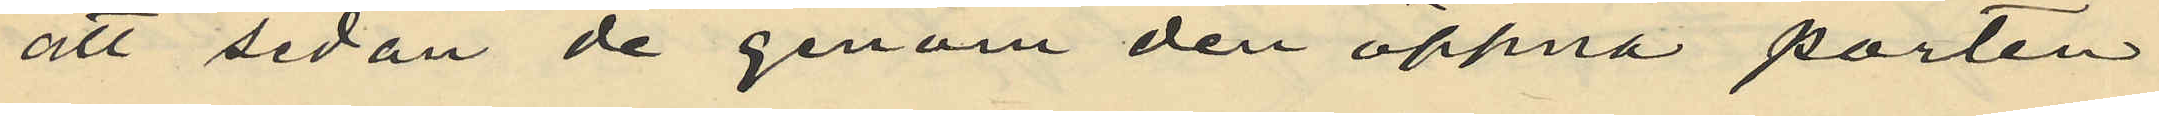att sedan de genom den öppna porten
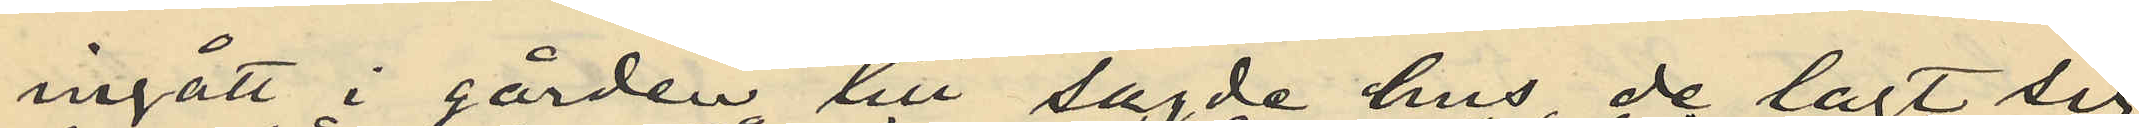ingått i gården till sagde hus de lagt sig
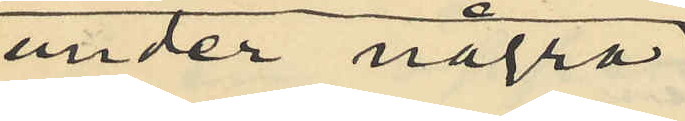under några
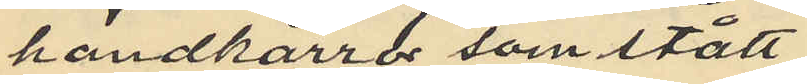handkärror som stått
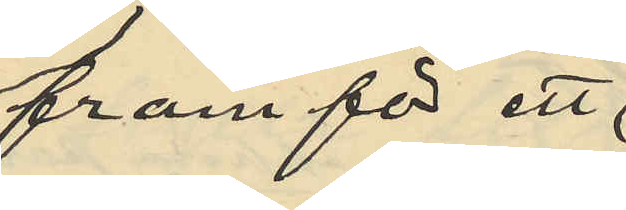framför ett
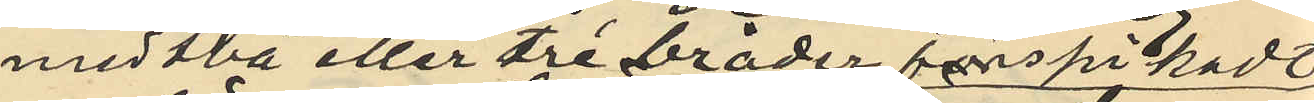med två eller tre bräder fastspikade
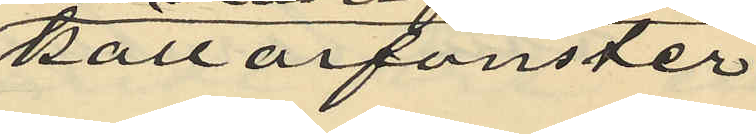källarfönster
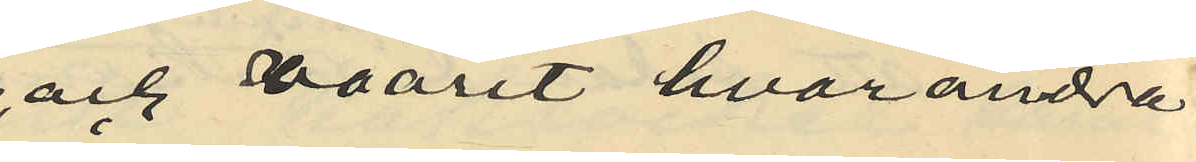och varit hvarandra
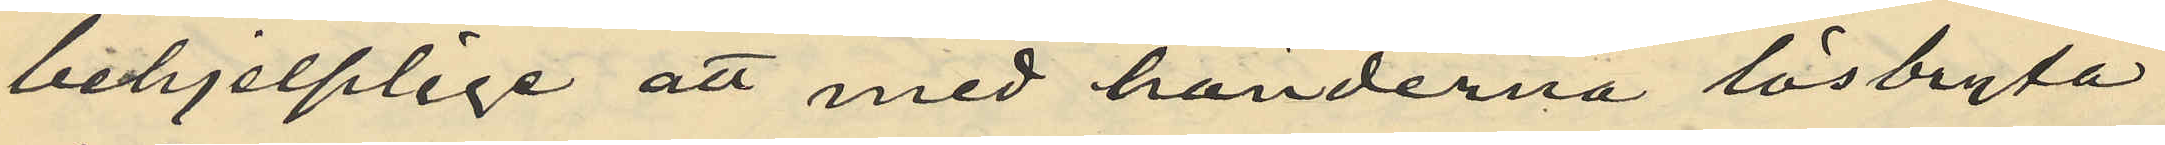behjelplige att med händerna lösbryta
